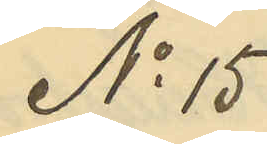N 15
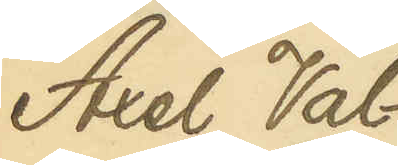Axel Val¬
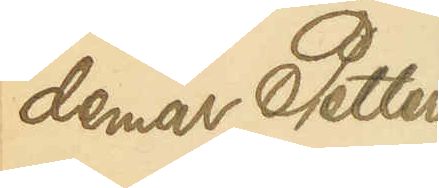demar Petters¬
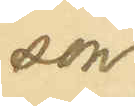son
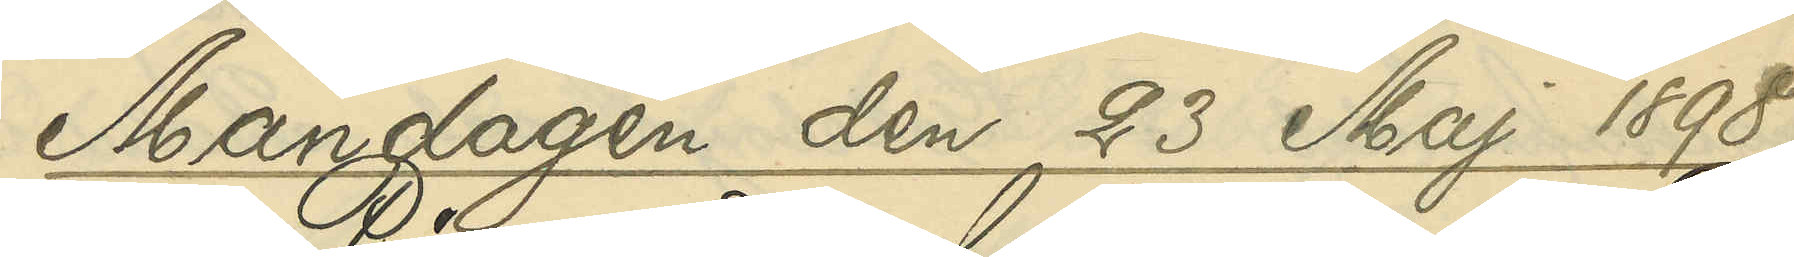Måndagen den 23 Maj 1898.
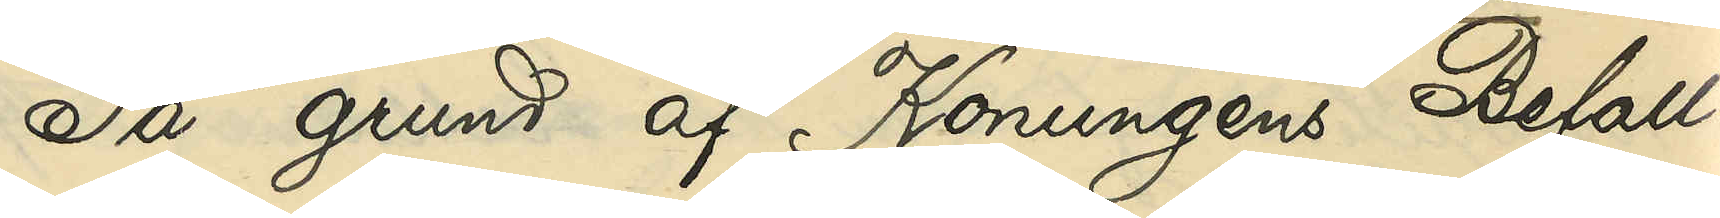På grund af Konungens Befall¬
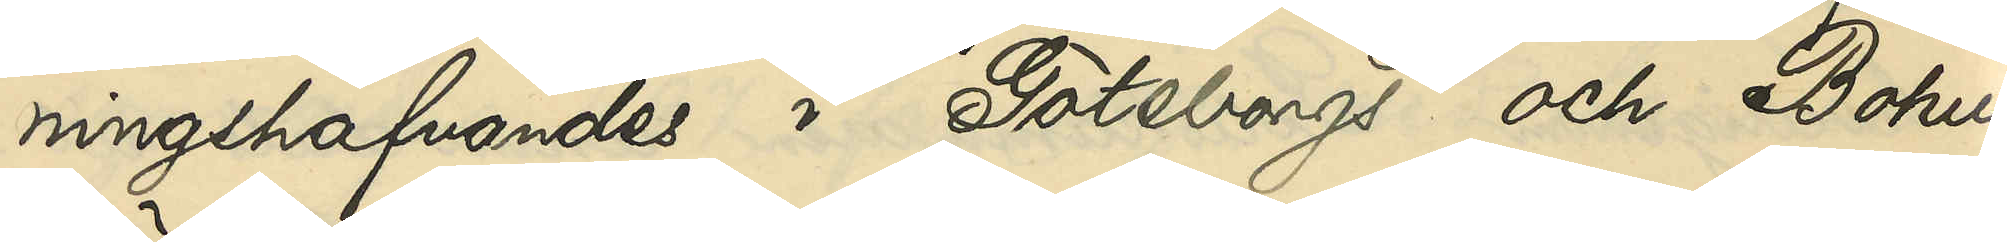ningshafvandes i Göteborgs och Bohus
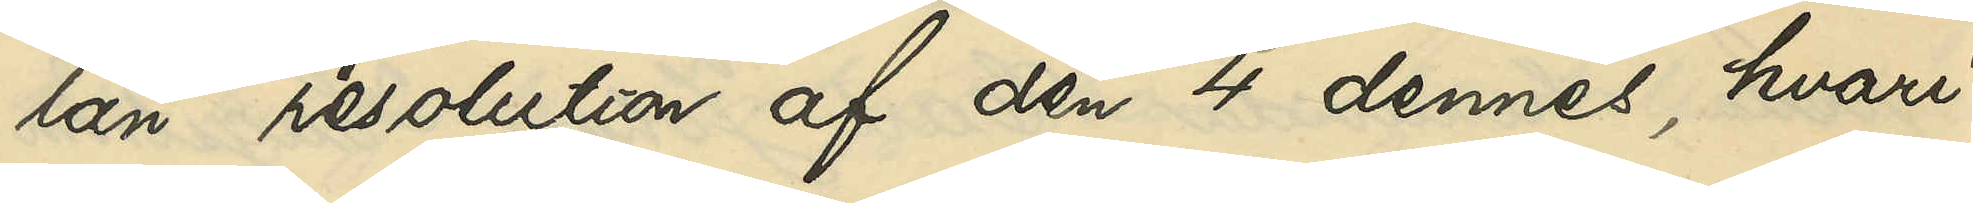län resolution af den 4 dennes, hvari¬
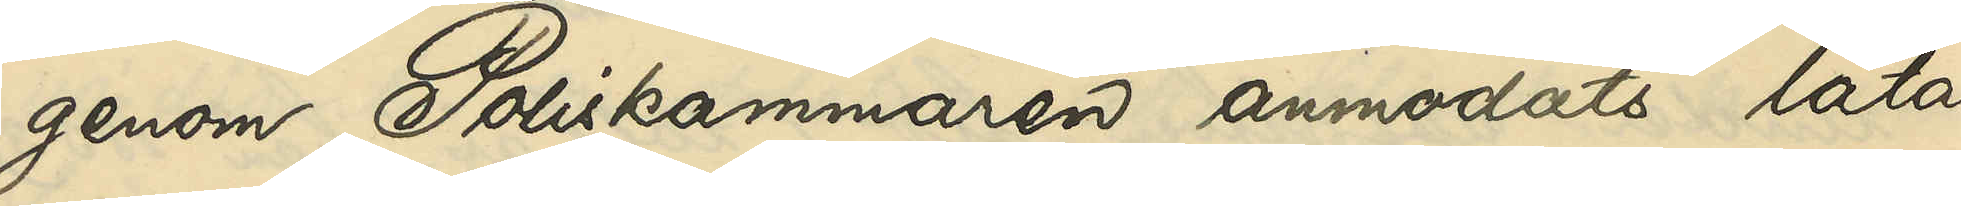genom Poliskammaren anmodats låta
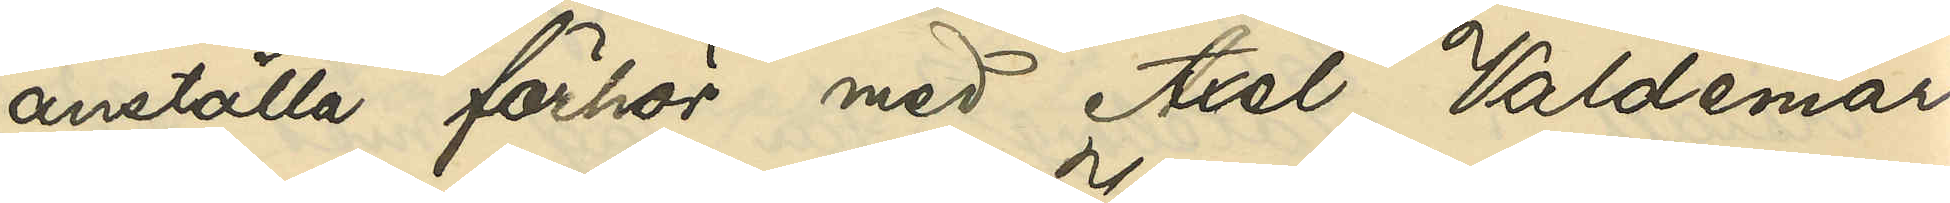anställa förhör med Axel Valdemar
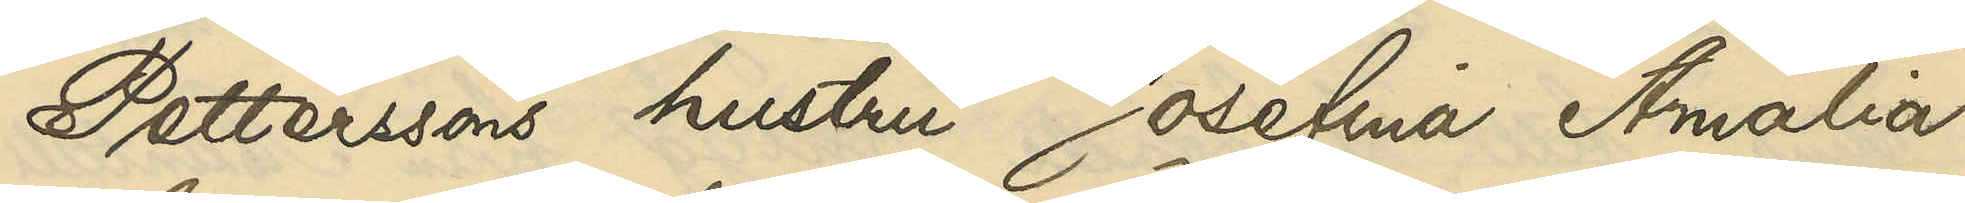Petterssons hustru Josefina Amalia
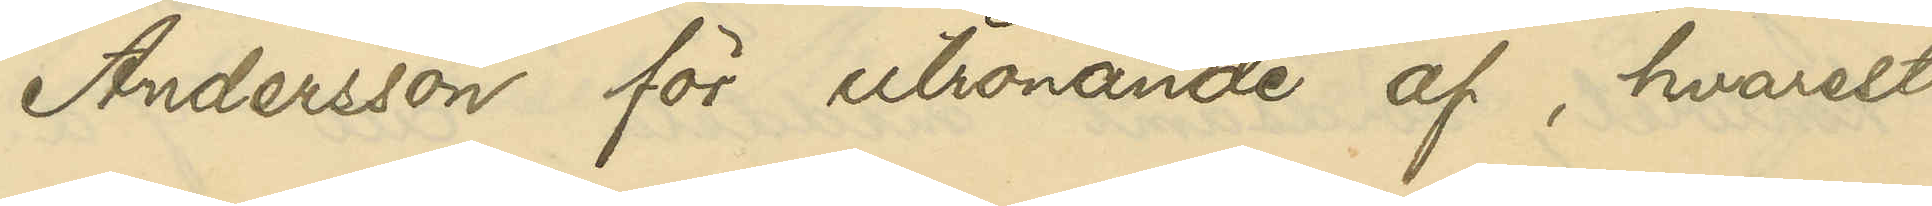Andersson för utrönande af, hvarest
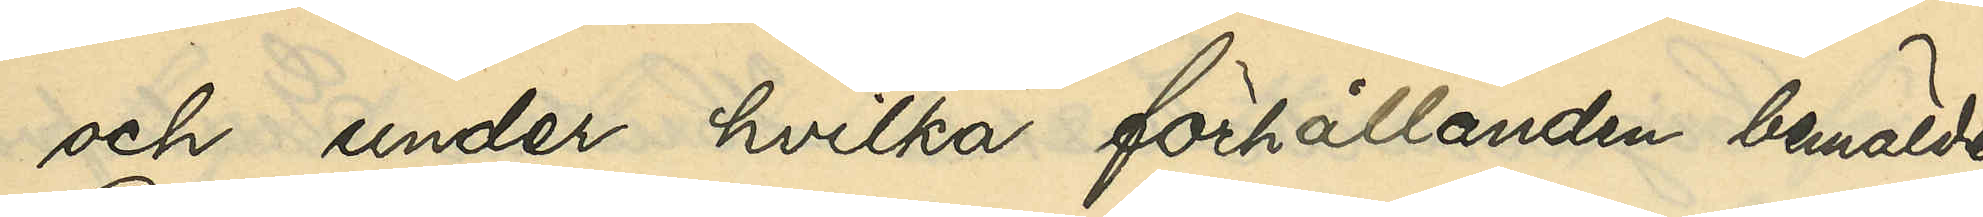och under hvilka förhållanden bemälde
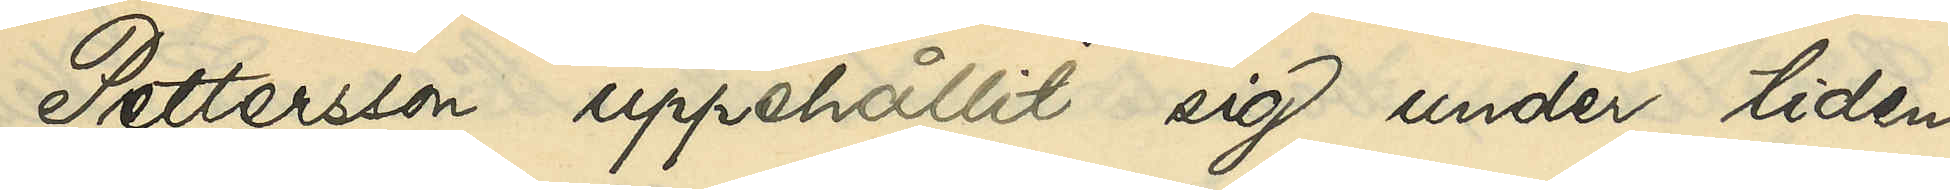Pettersson uppehållit sig under tiden 
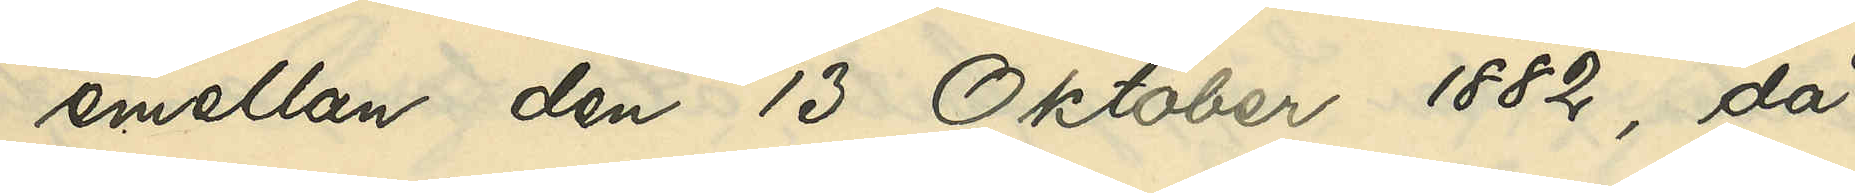emellan den 13 Oktober 1882, då
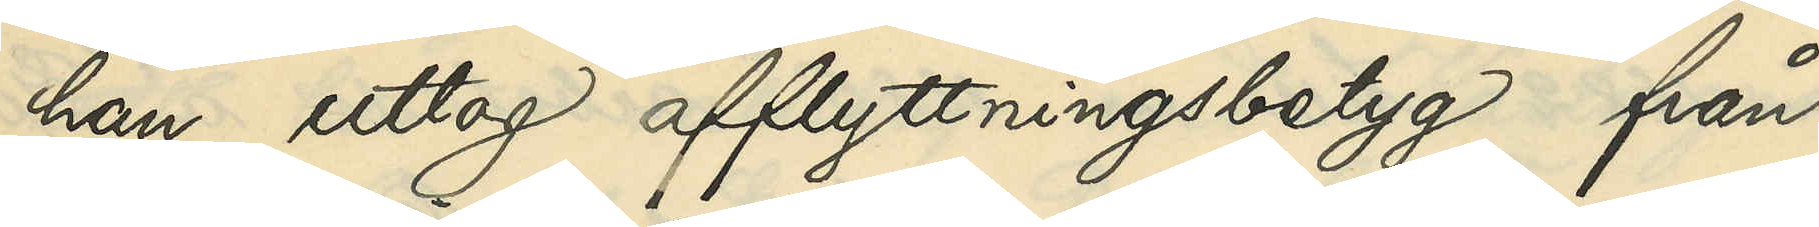han uttog afflyttningsbetyg från
